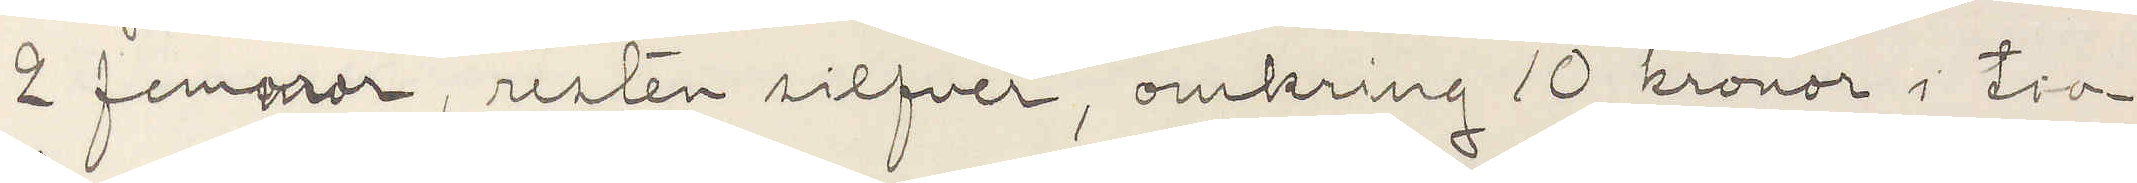2 femmor, resten silfver, omkring 10 kronor i tio¬
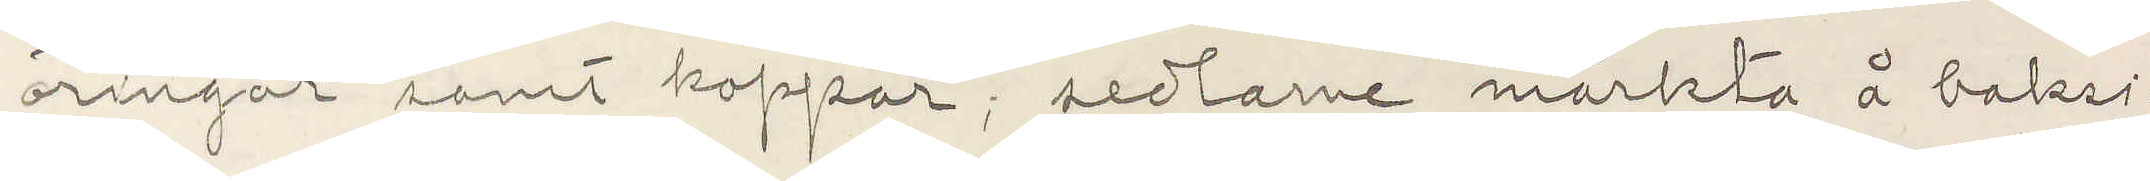öringar samt koppar, sedlarne märkta å baksi¬
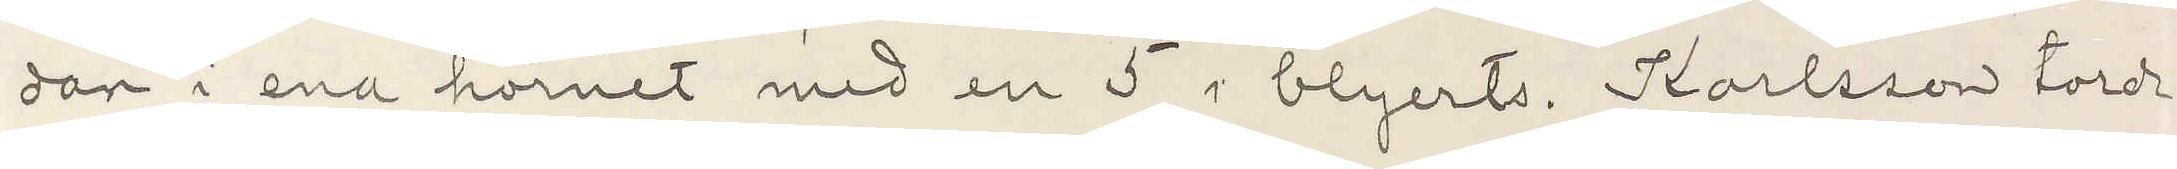dan i ena hörnet med en 5 i blyerts. Karlsson torde
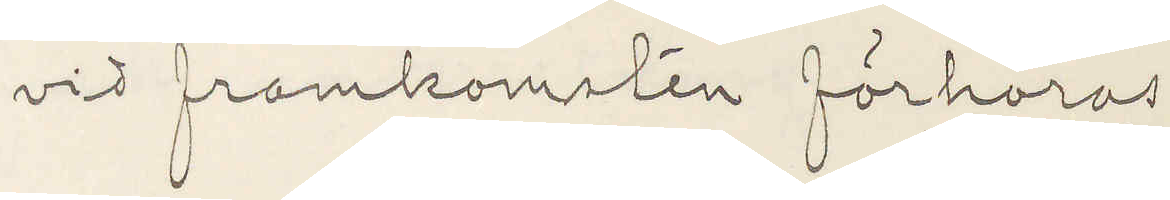vid framkomsten förhöras.
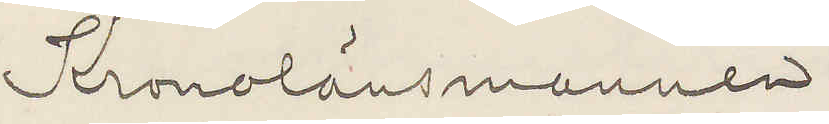Kronolänsmannen
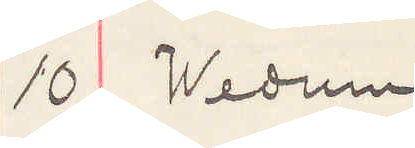10 Wedum
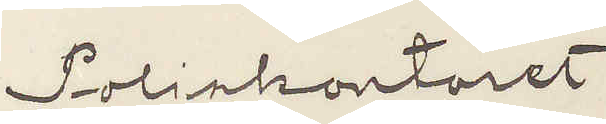Poliskontoret
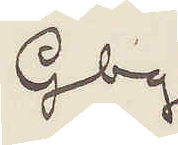Gbg.
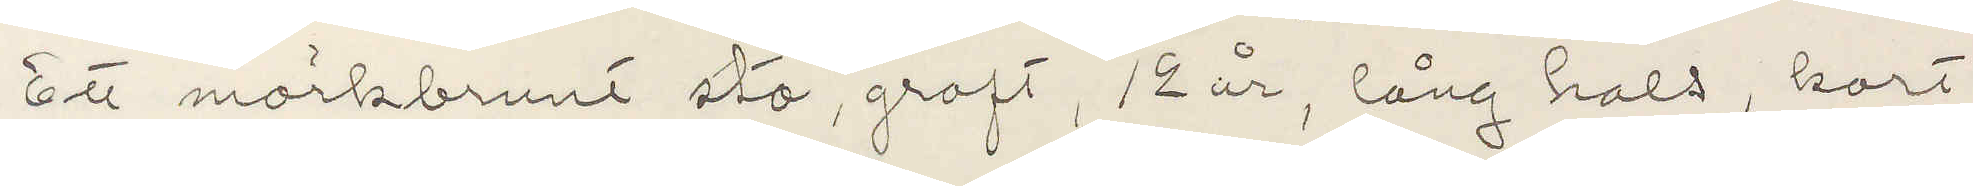Ett mörkbrunt sto, groft, 12 år, lång hals, kort
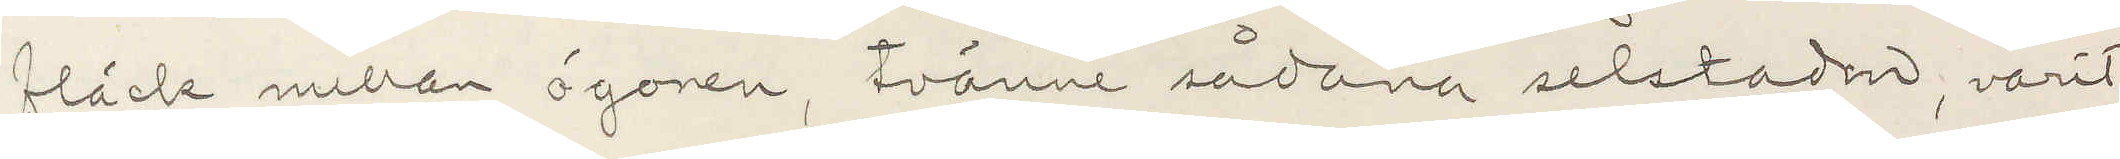fläck mellan ögonen, tvänne sådana selstoden, varit
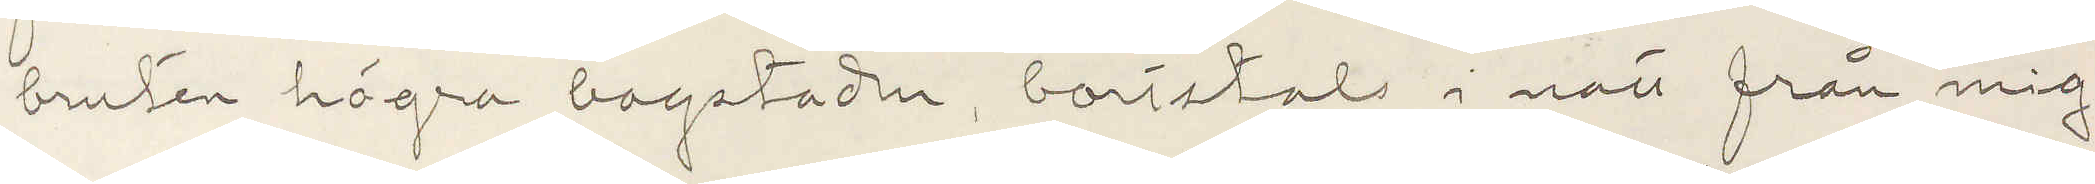bruten högra bagstoden, bortstals i natt från mig.
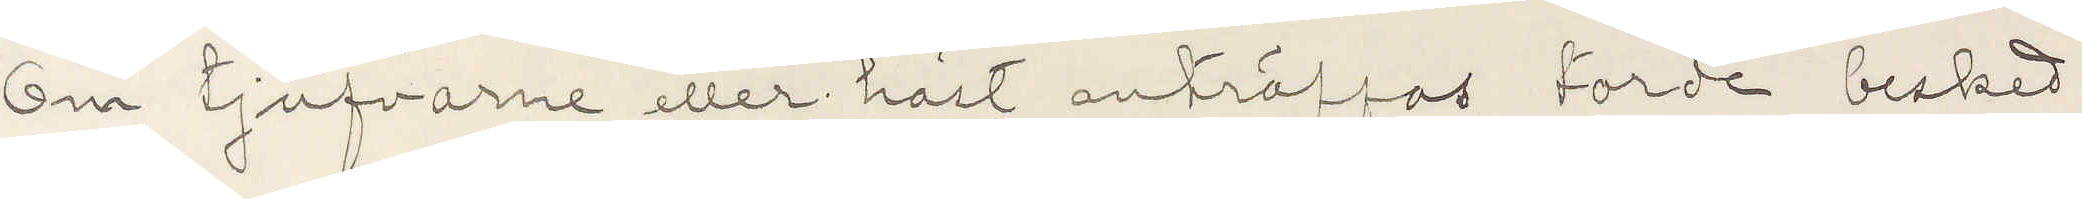Om tjufvarne eller häst anträffas torde besked
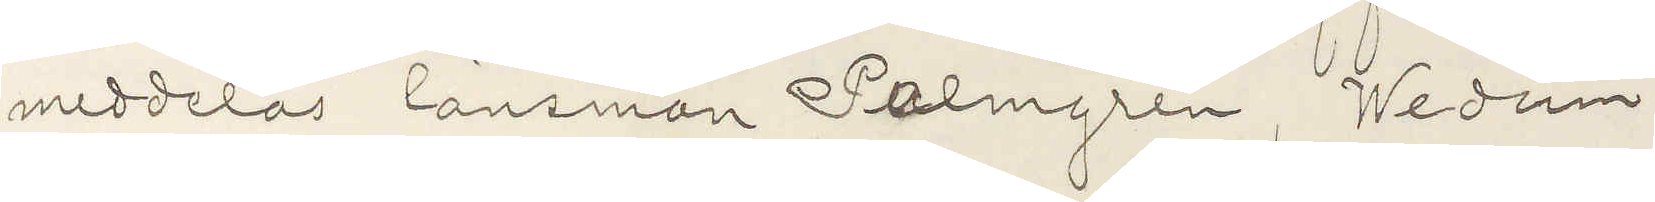meddelas länsman Palmgren, Wedum
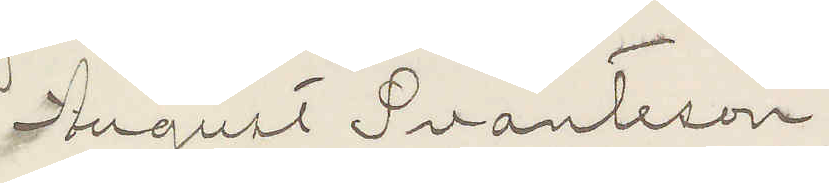August Svanteson
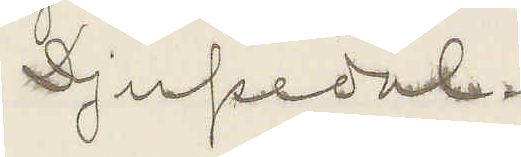Djupedal.
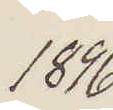1896
